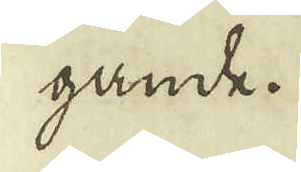gande.
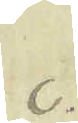c.
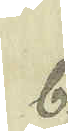b.
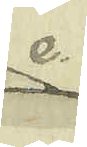e.
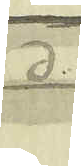a.
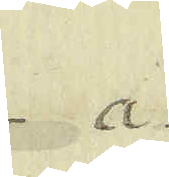a.
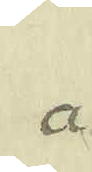a.
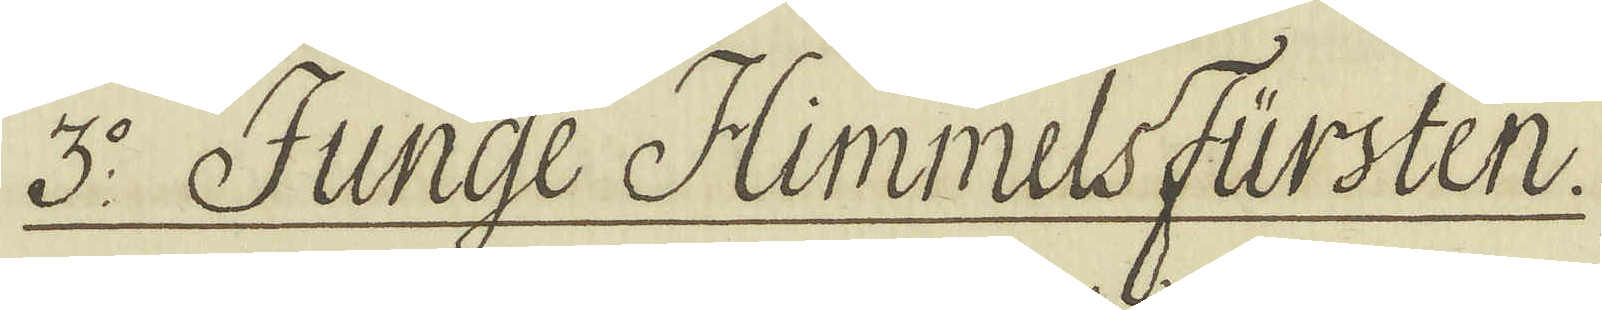3:o Junge Himmelsfürsten.
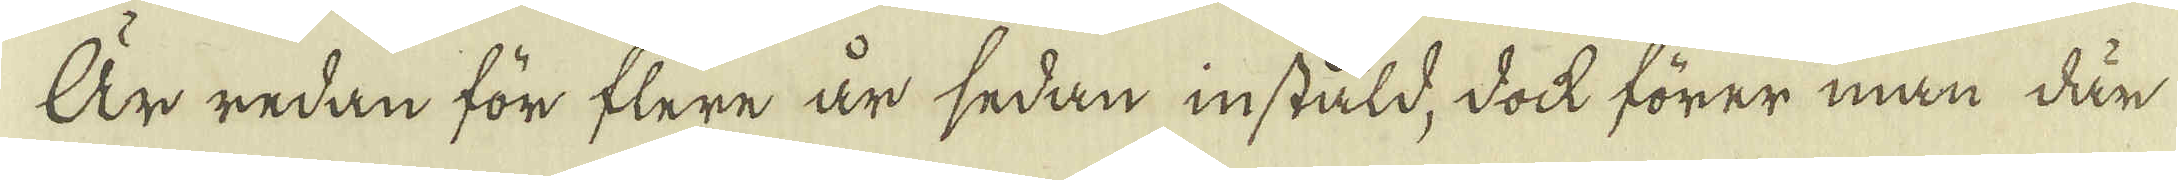Är redan för flere år sedan instäld, dock förer man där-
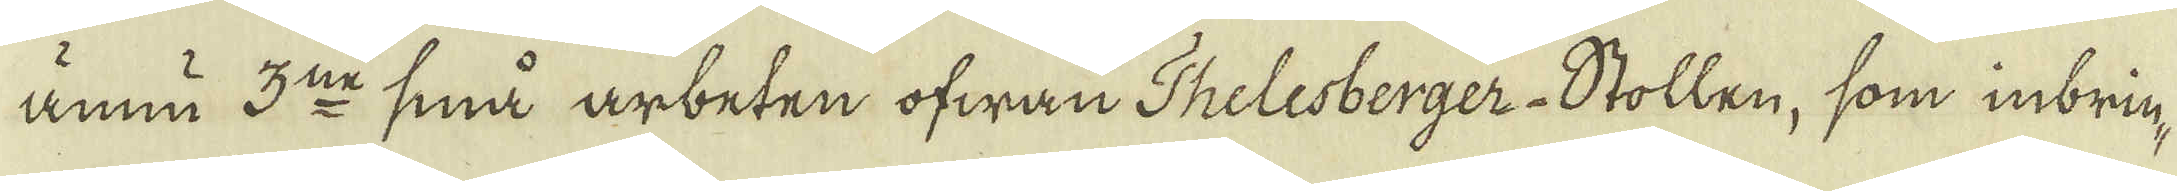ännu 3:ne små arbeten ofwan Thelesberger-Stollen, som inbrin-
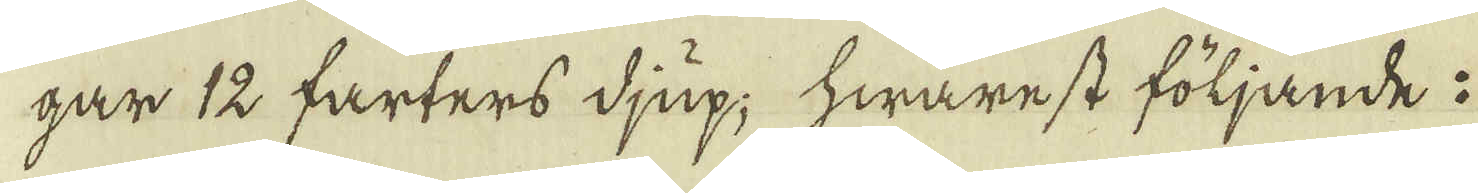gar 12 farters djup; hwarest följande :
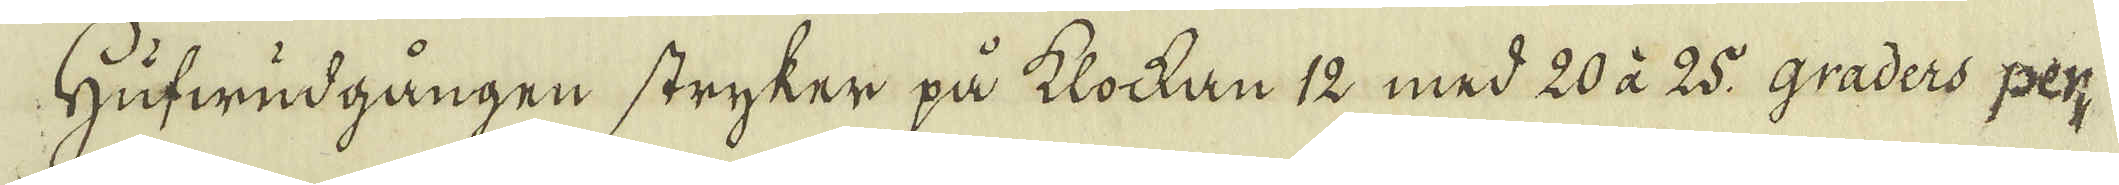Hufwudgången stryker på klockan 12 med 20 à 25 graders per-
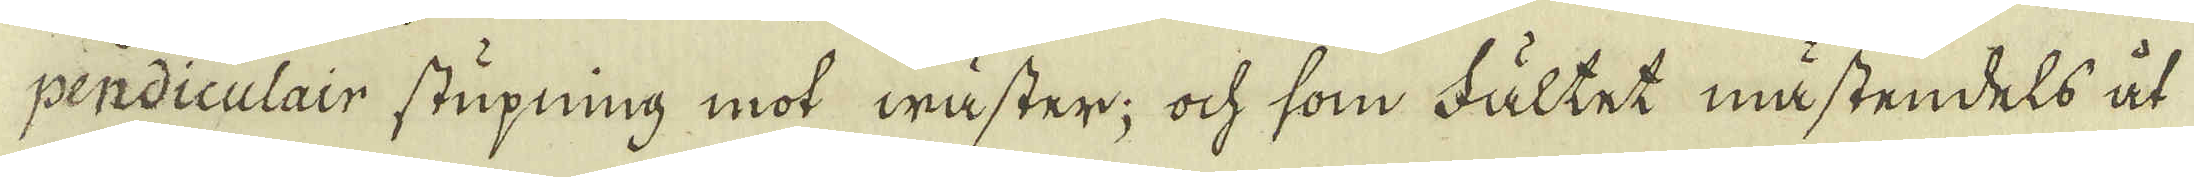pendiculair stupning mot wäster; ock som Fältet mästendels åt
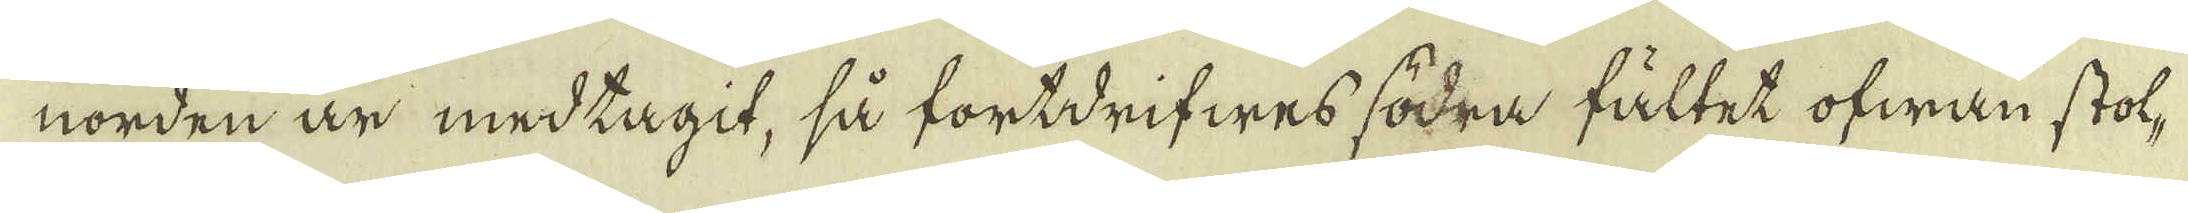norden är medtagit, så fortdrifwes södra fältet ofwan stol-
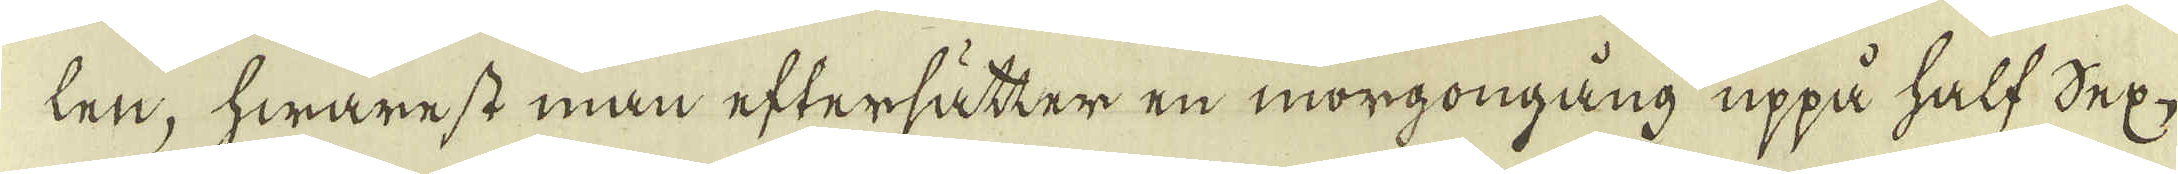len, hwarest man eftersätter en morgongång uppå half Sex,
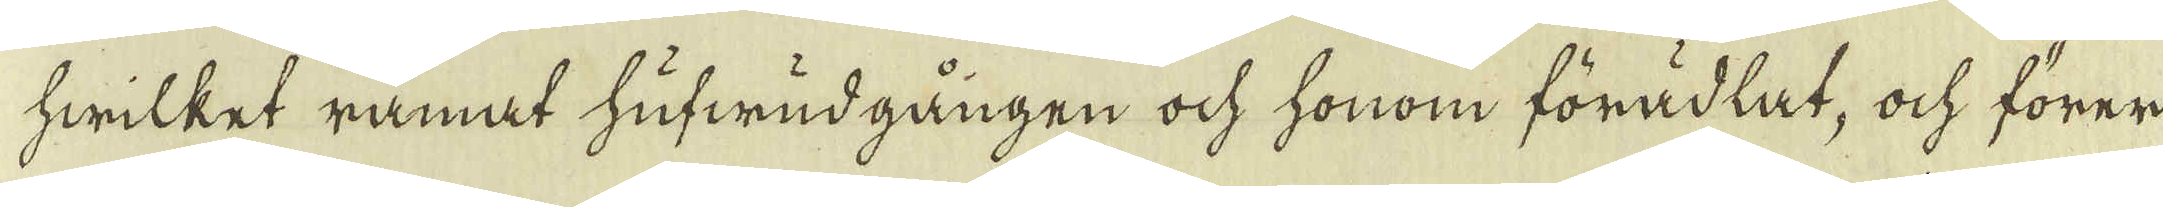hwilket ramat hufwudgången ock honom förädlat, ock förer
